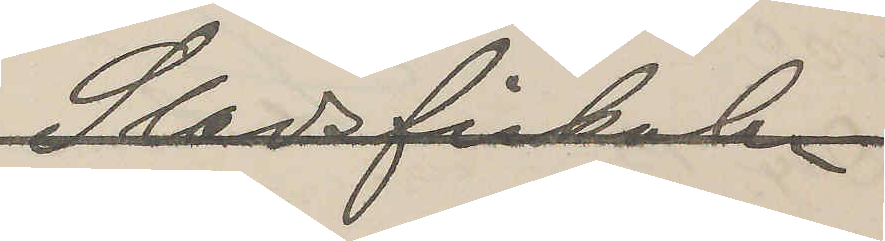Stadsfiskalen
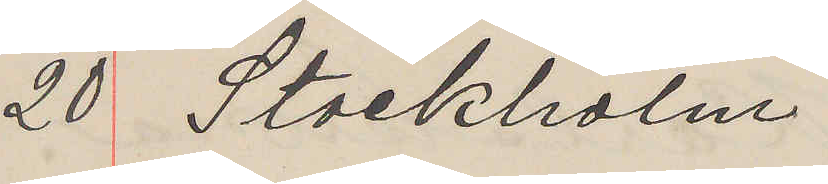20 Stockholm
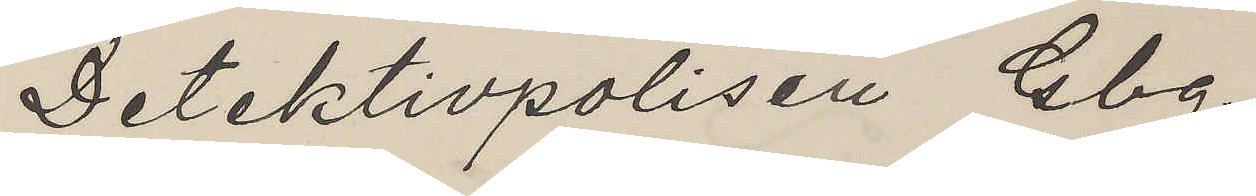Detektivpolisen Gbg
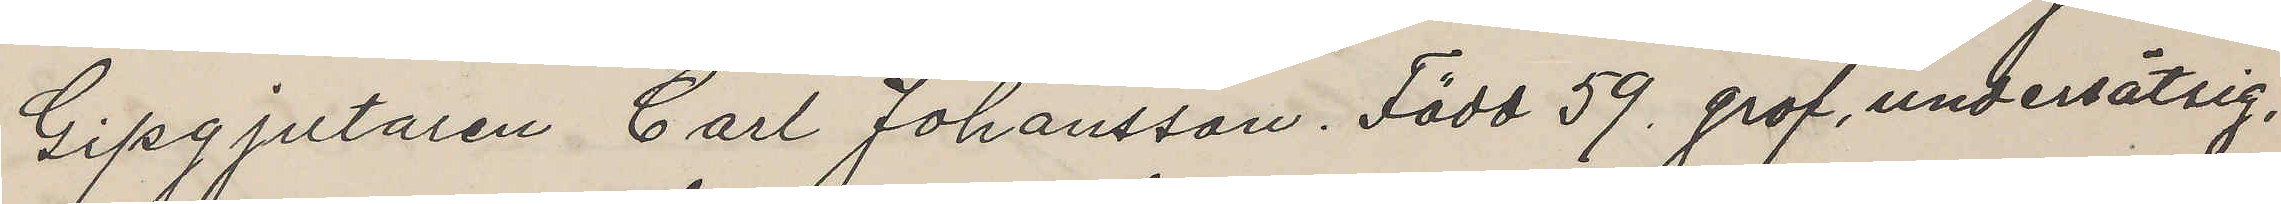Gipgjutaren Carl Johansson. Född 59. grof, undersätsig,
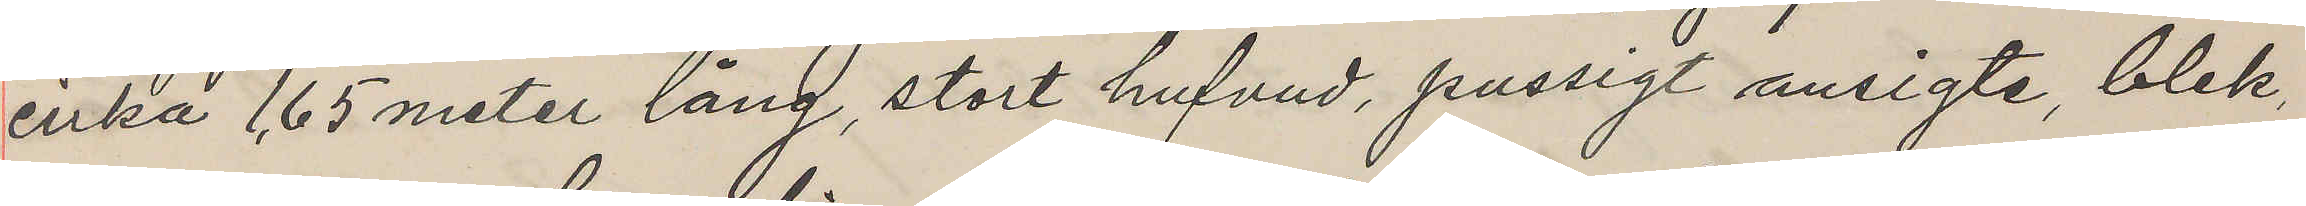cirka 1,65 meter lång, stort hufvud, pussigt ansigte, blek,
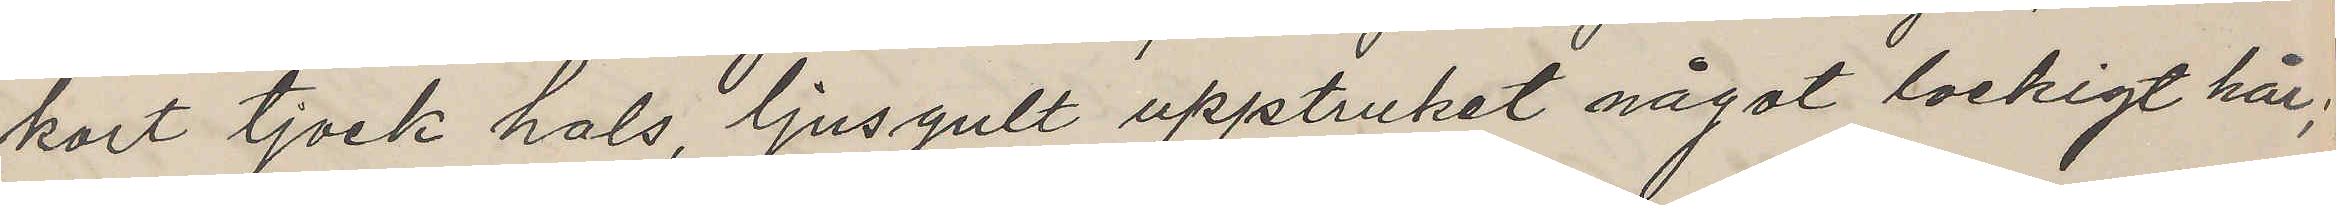kort tjock hals, ljusgult upptruket något lockigt hår;
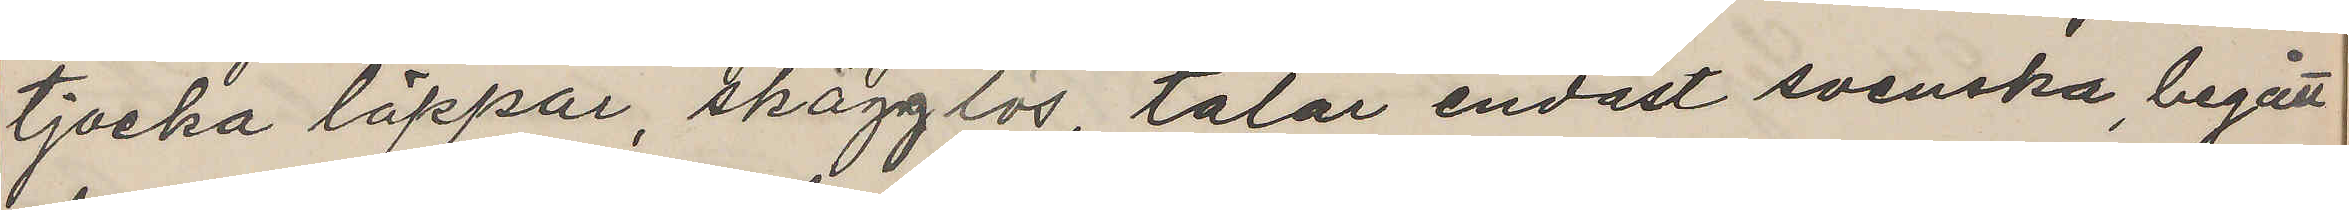tjocka läppar, skägglös, talar endast svenska, begått
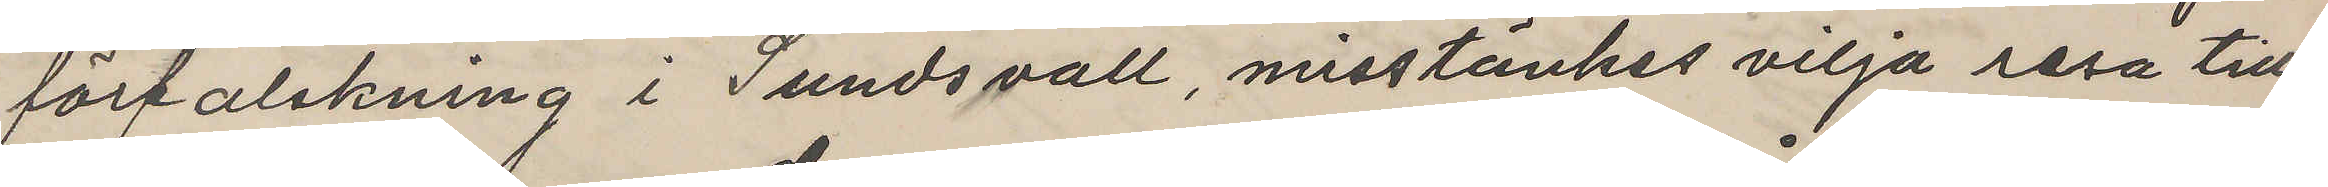förfalskning i Sundsvall, misstänkes vilja resa till
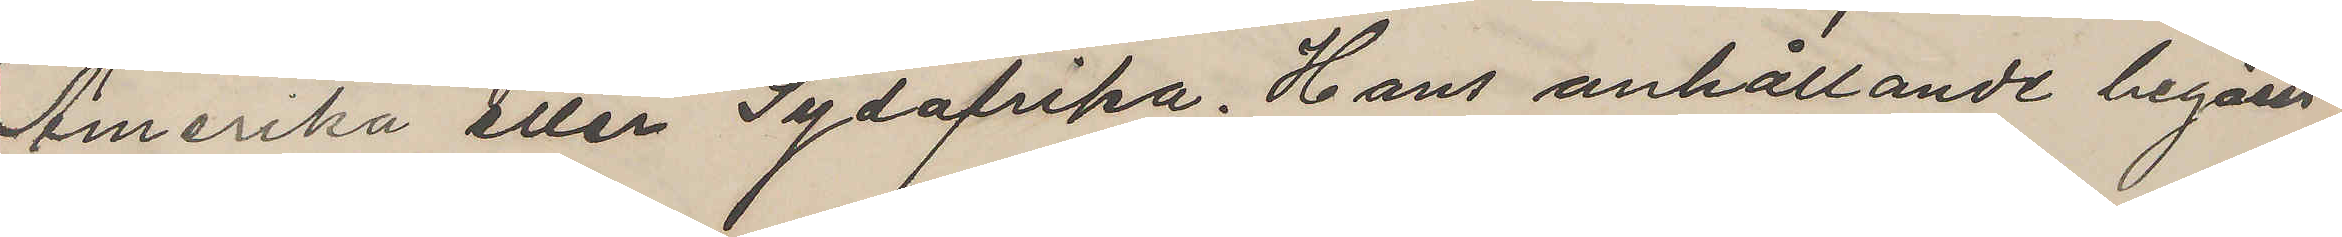Amerika eller Sydafrika. Hans anhållande begäres
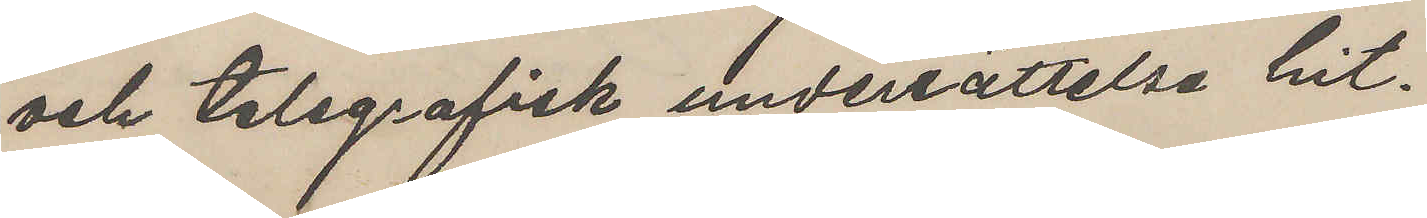och telegrafisk underrättelse hit.
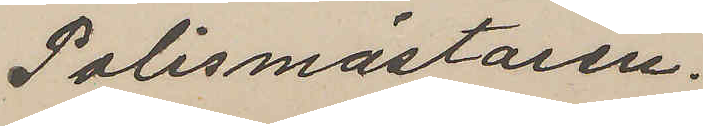Polismästaren.
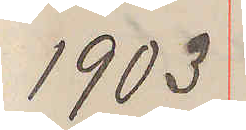1903
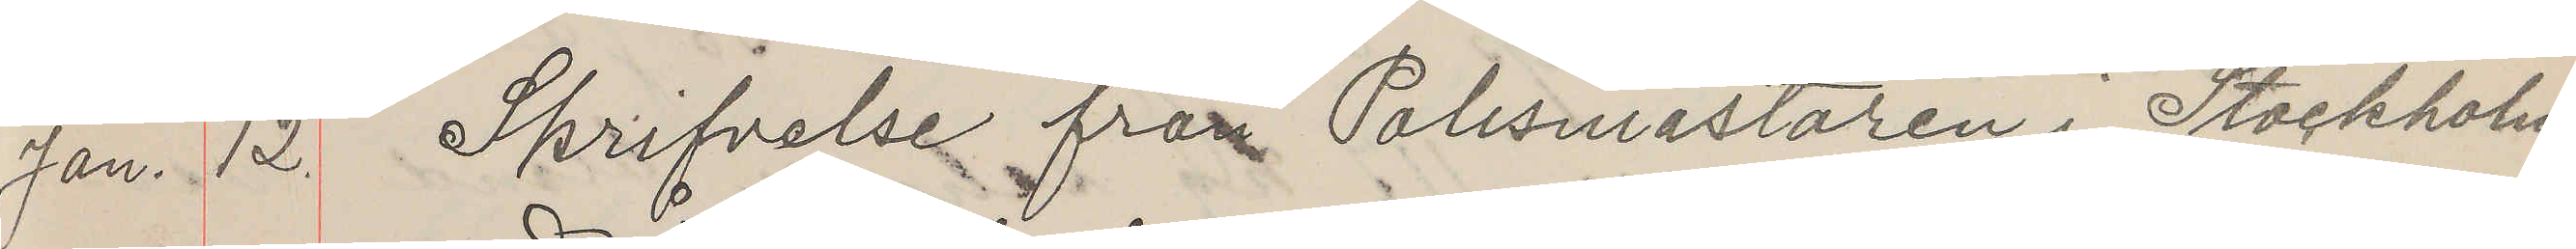Jan. 12. Skrifvelse från Polismästaren i Stockholm
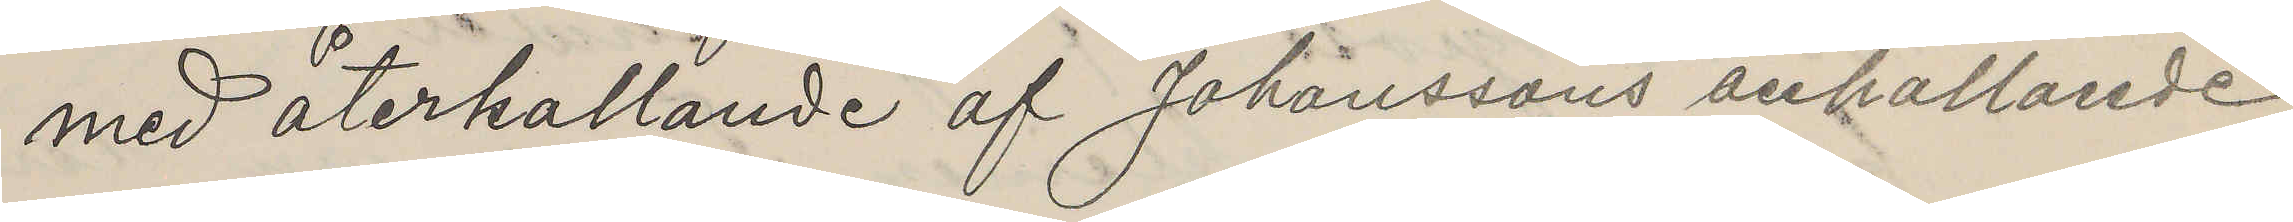med återhållande af Johanssons anhållande.
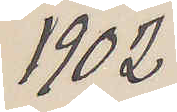1902
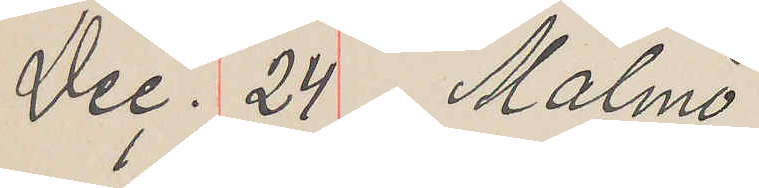Dec. 24 Malmö
